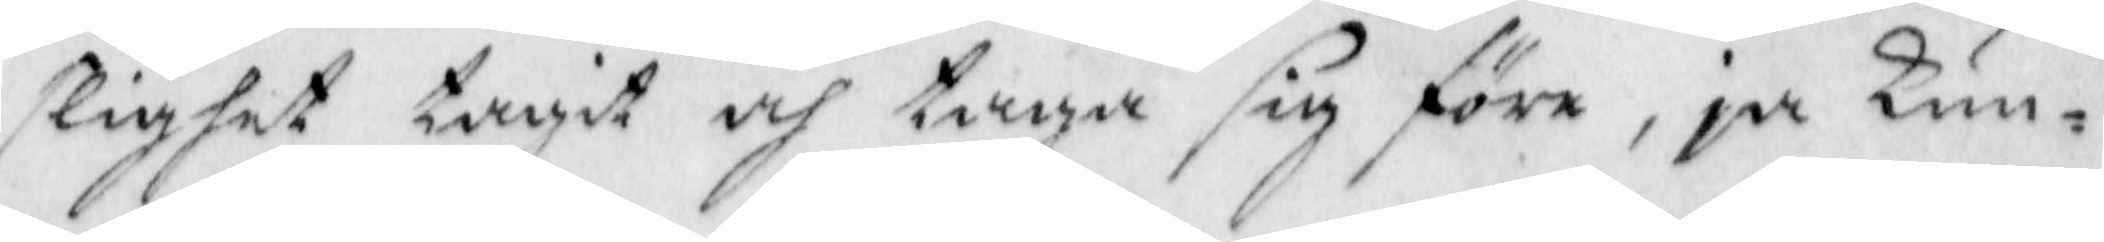slighet tagit och taga sig före, ja Kun¬
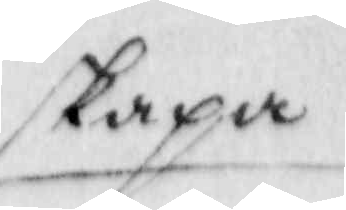skapa
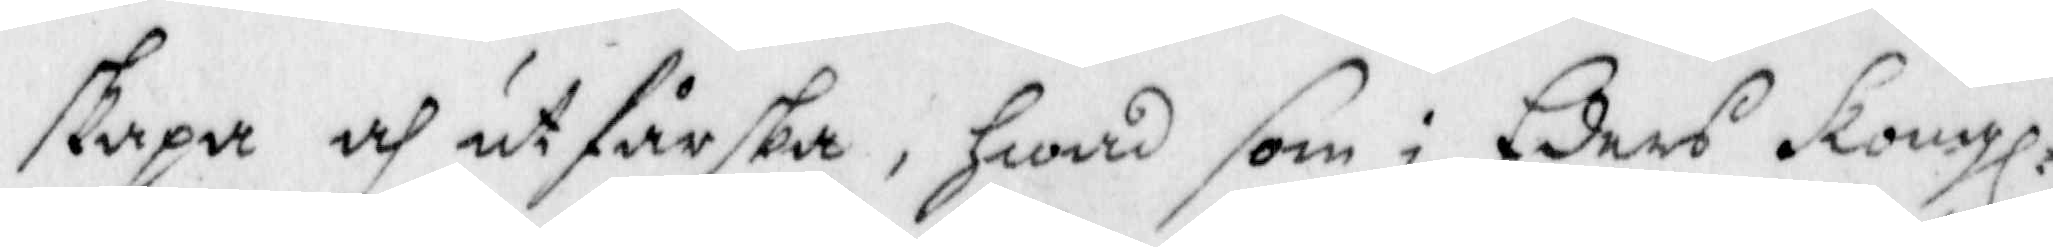skapa och utfårska, Hwad som i Eders Kongl.
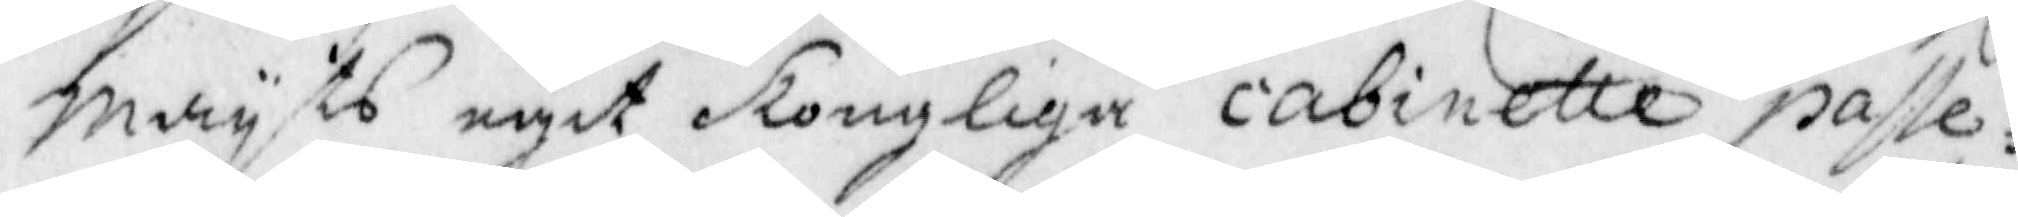Mayts egit Kongliga cabinette passe¬
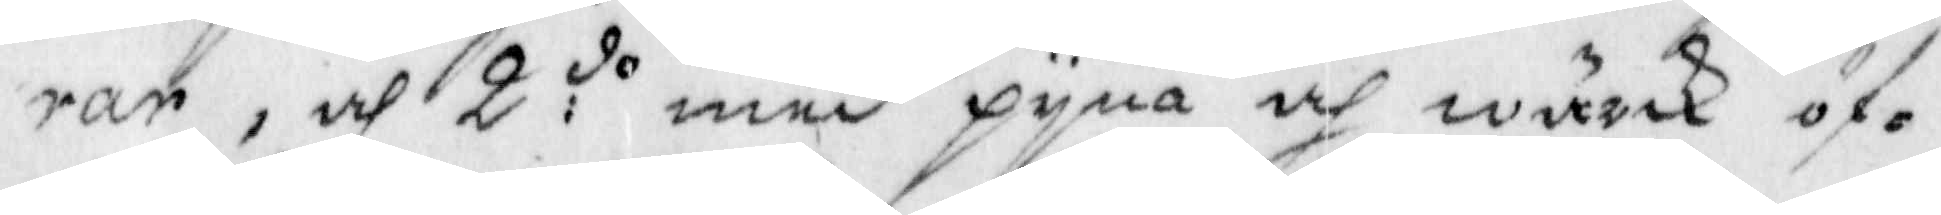rar, och 2:do med pyna och wärk öf¬
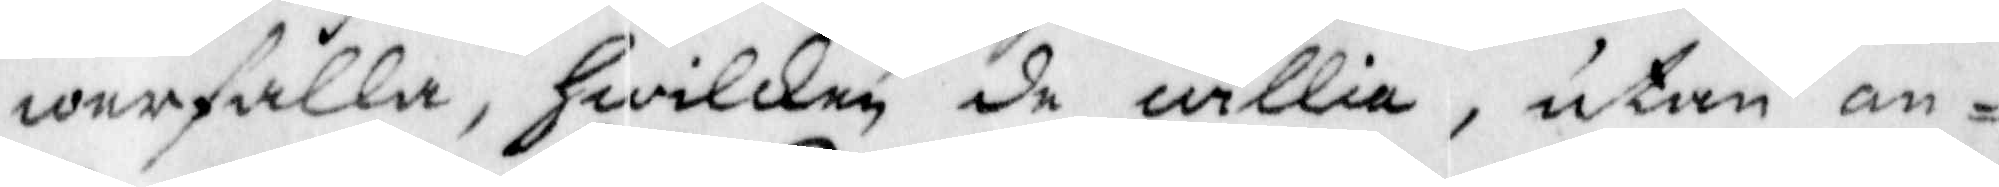werfalla, Hwilken de willia, utan an¬
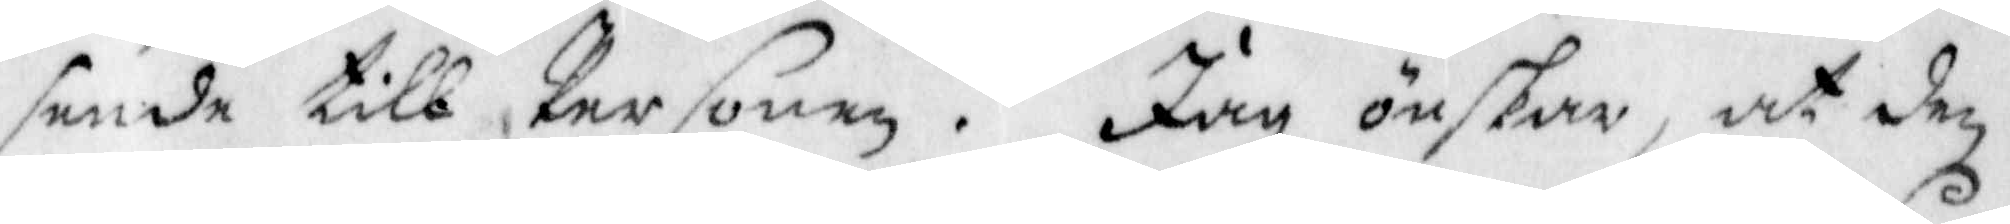sende till Personen. Jag önskar, at den
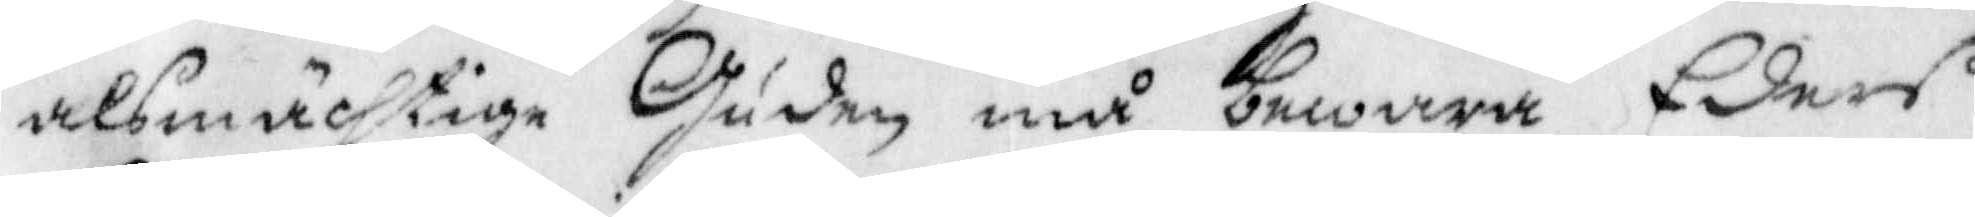alsmächtige Guden må bewara Eders
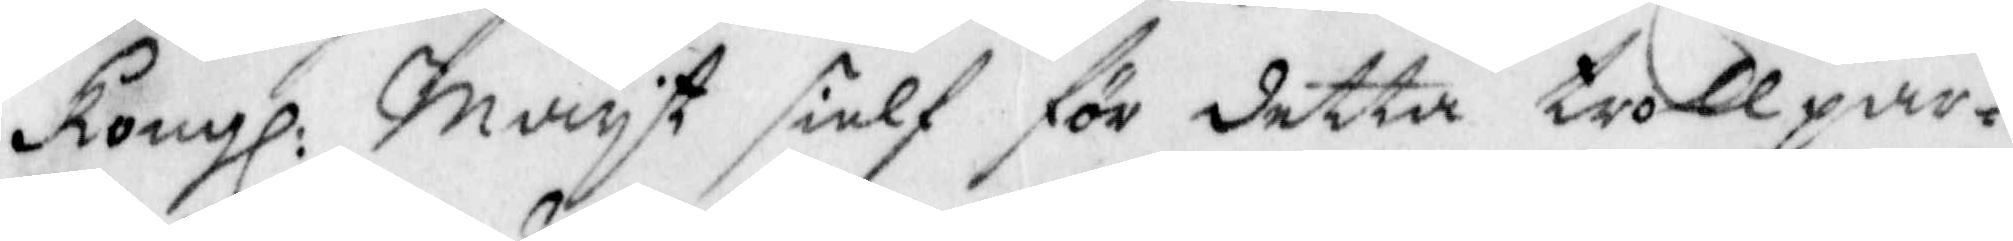Kongl. Mayt sielf för detta trollpar¬
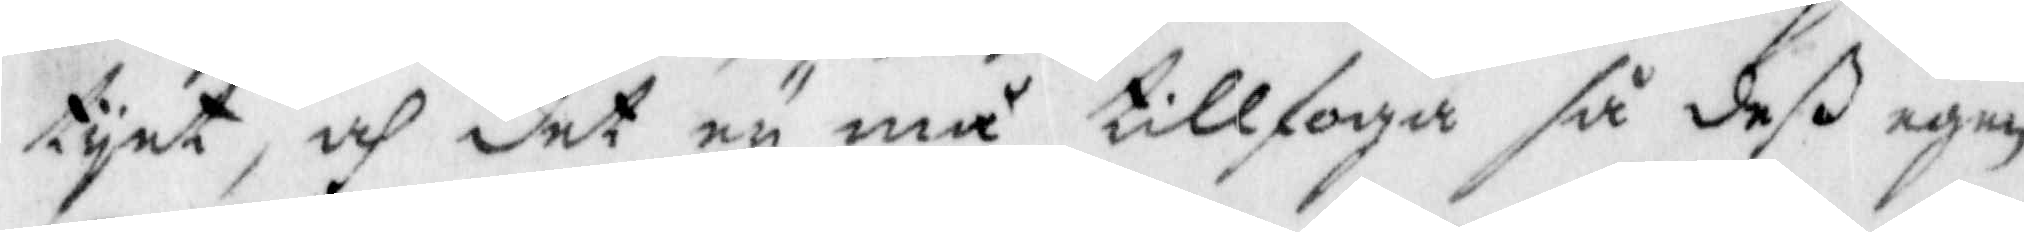tyet, och det ey må tillfoga så deß egen
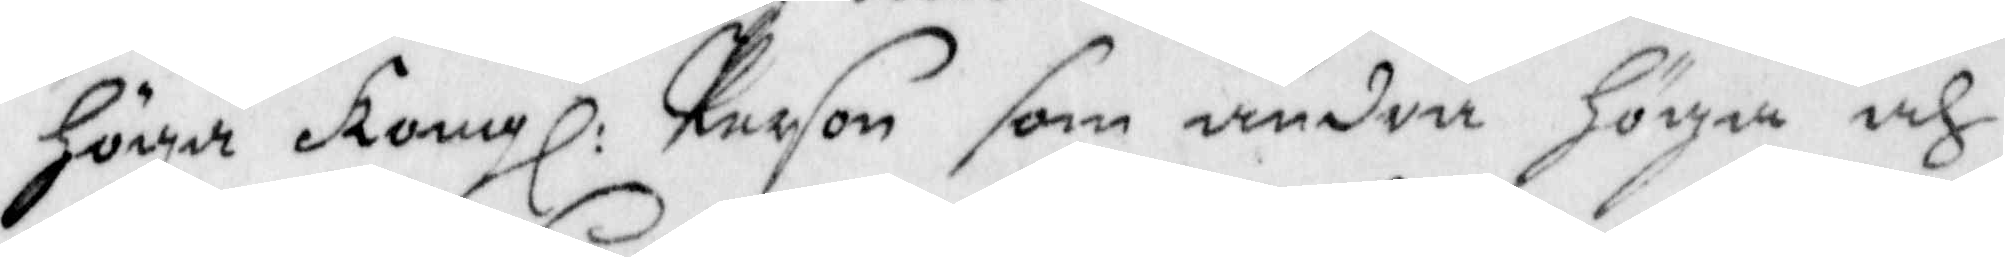Höga Kongl. Person som andra Höga och
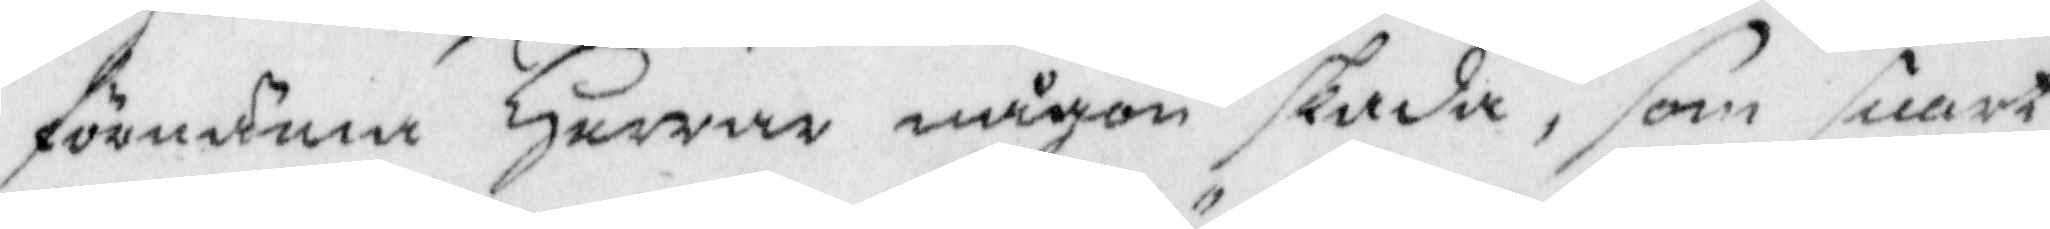förnäma Herrar någon skada, som snart
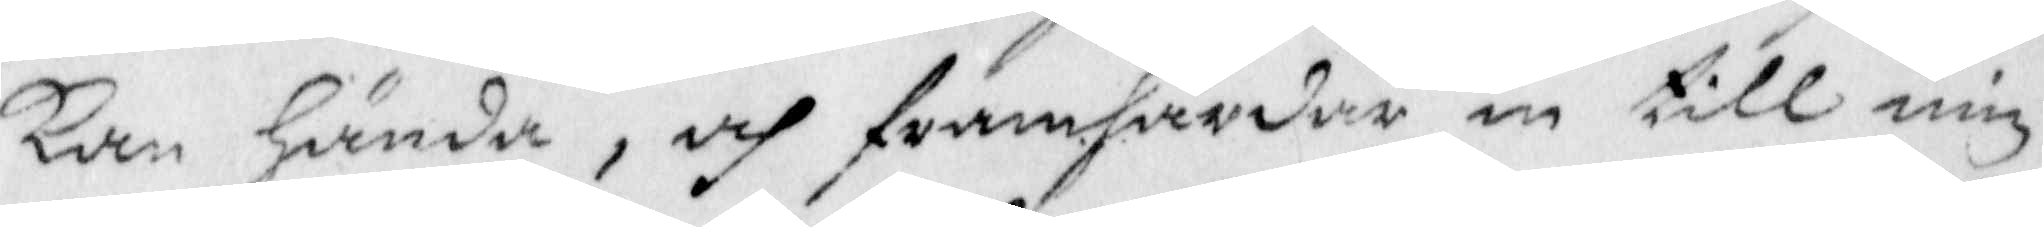kan Hända, och framhärdar in till min
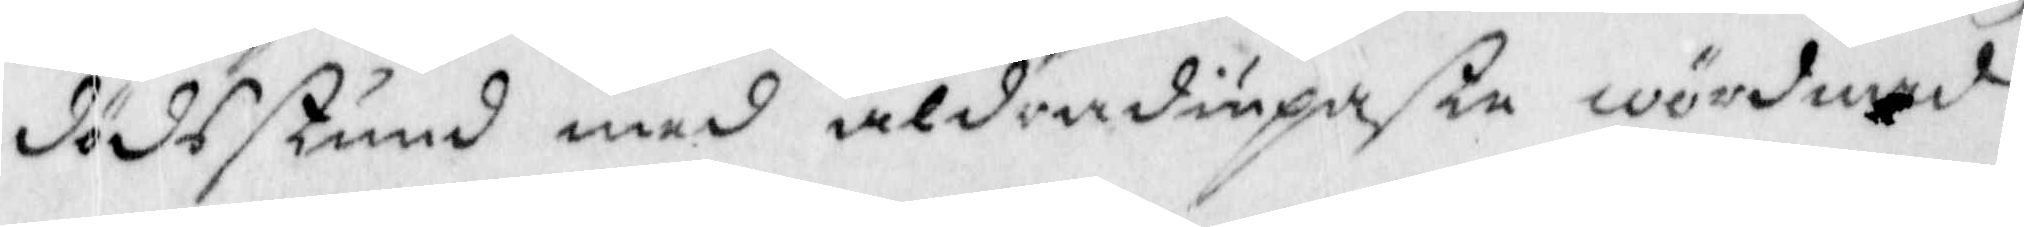dödsstund med aldradiupaste wördnad
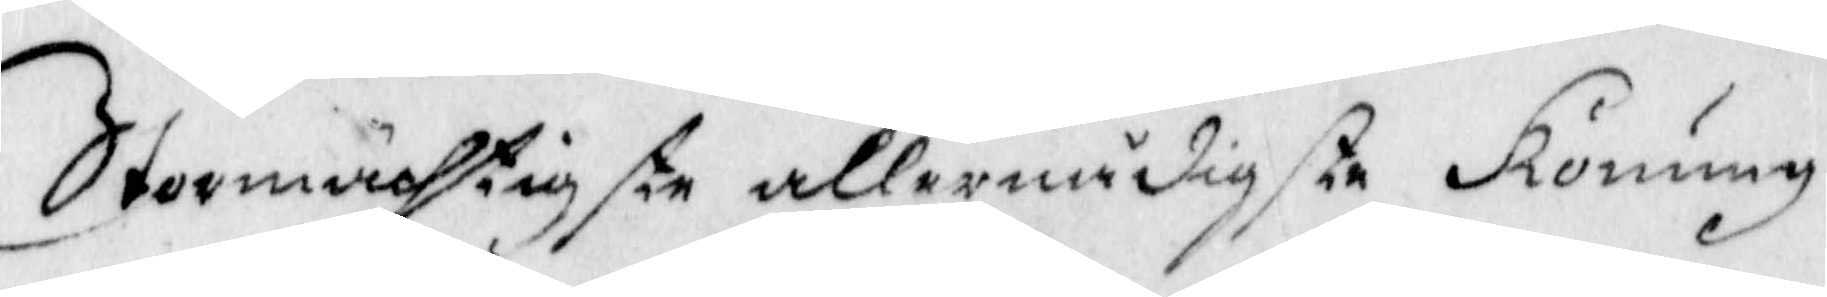Stormächtigste allernådigste Konung
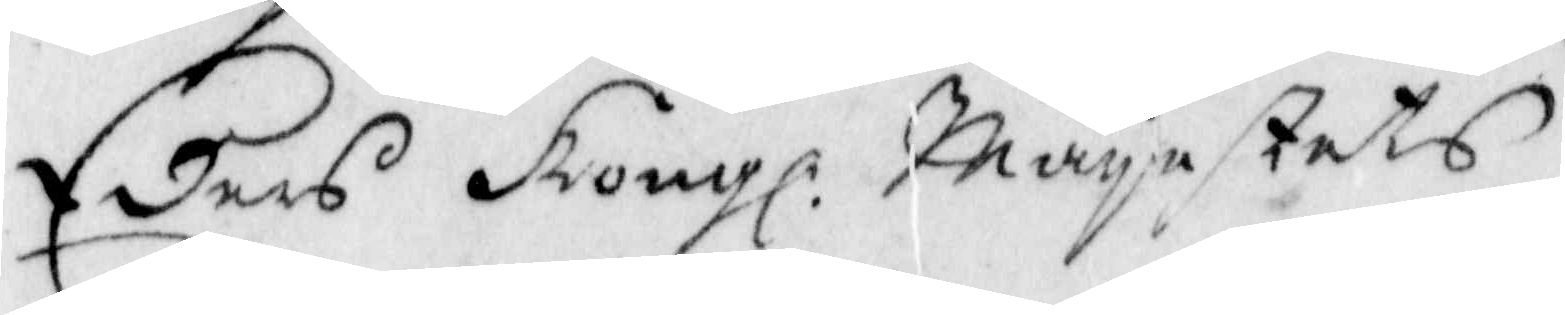Eders Kongl: Mayestets
